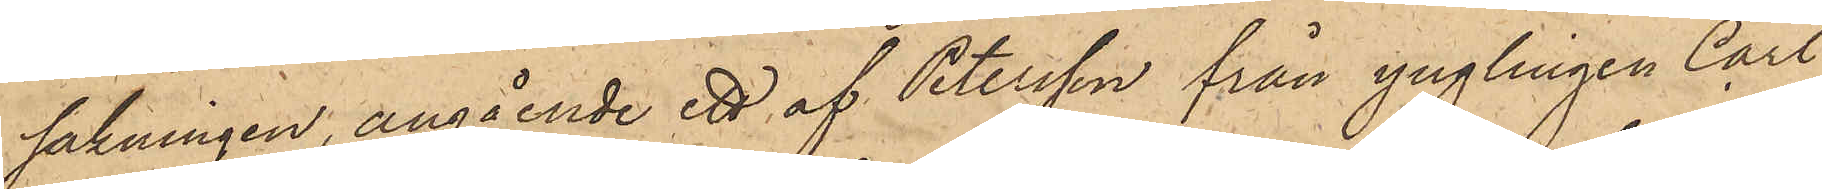sakningen, angående ett af Petersson från ynglingen Carl
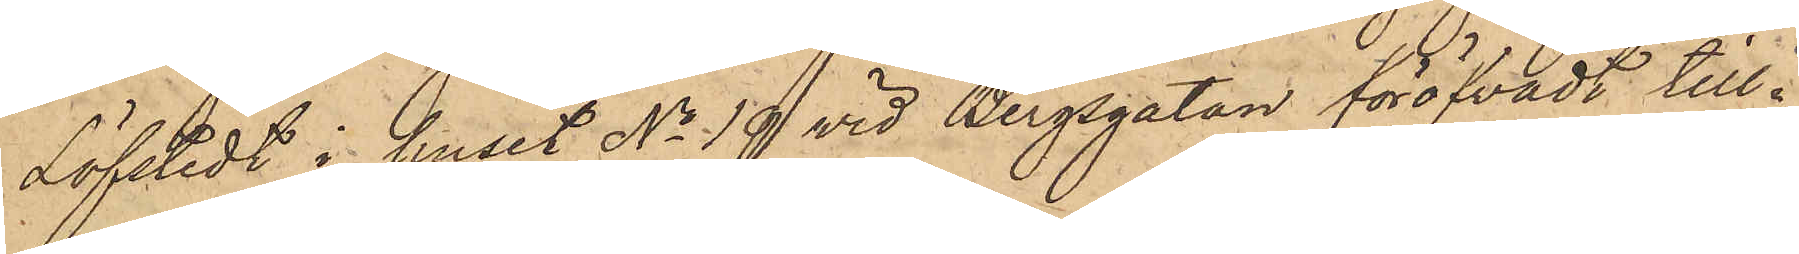Löfstedt i huset No 19 vid Bergsgatan föröfvadt till¬
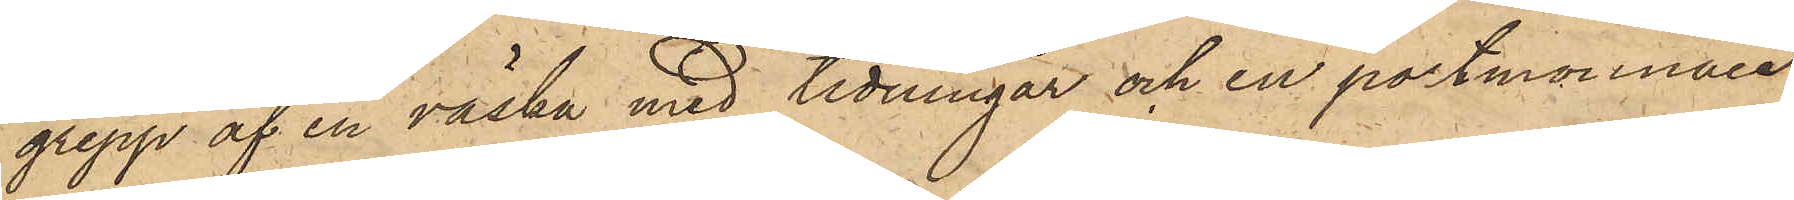grepp af en väska med tidningar och en portmonnaie
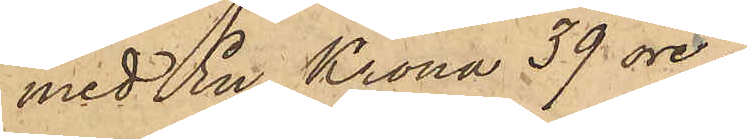med En Krona 39 öre
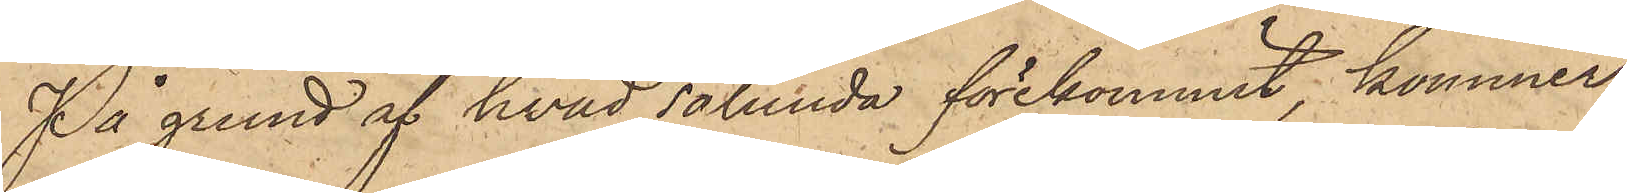På grund af hvad sålunda förekommit, kommer
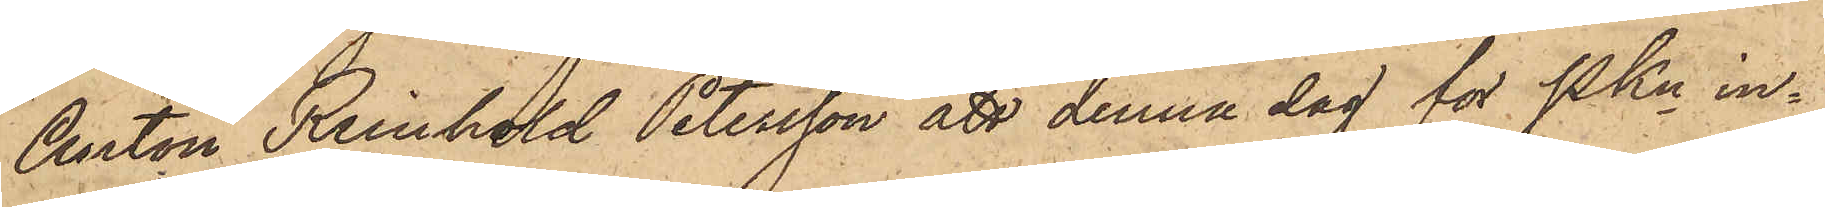Anton Reinhold Petersson att denna dag för Pkn in¬
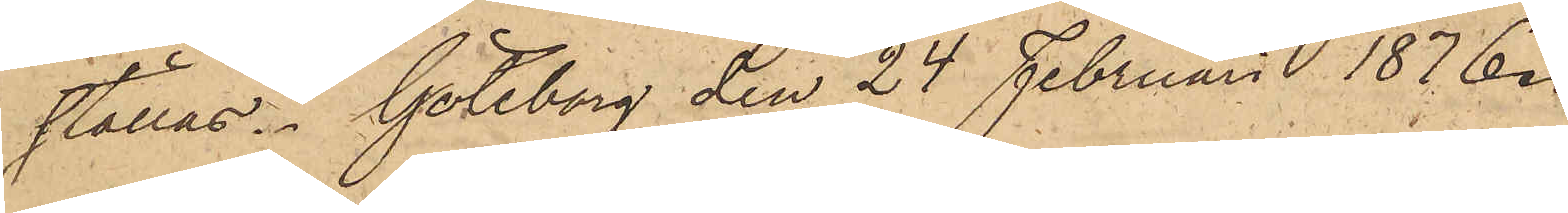ställas. Göteborg den 24 Februari 1876.
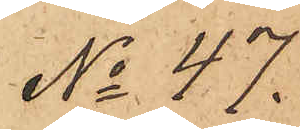No 47.
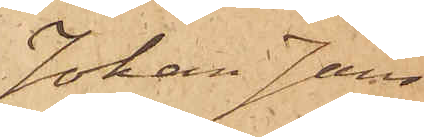Johan Jans¬
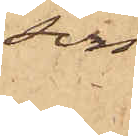son
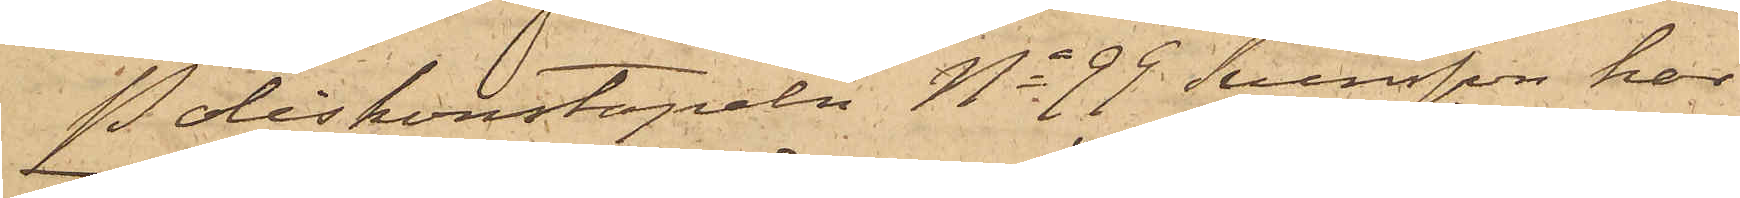Poliskonstapeln No 99 Svensson har
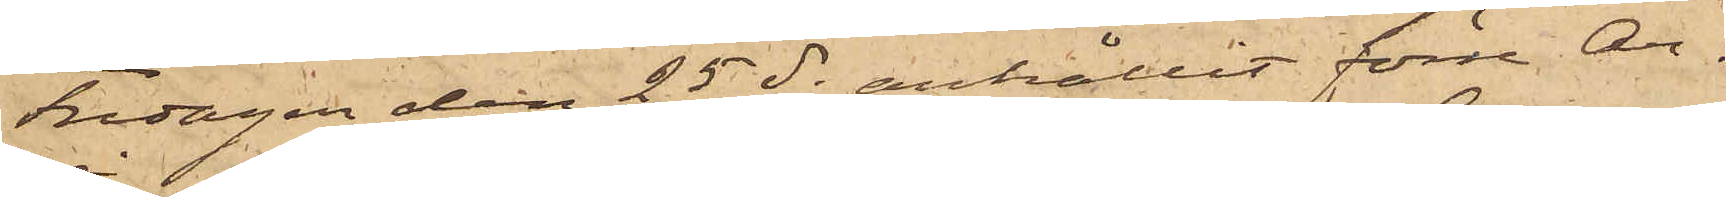Fredagen den 25 ds anhållit förre Ar¬
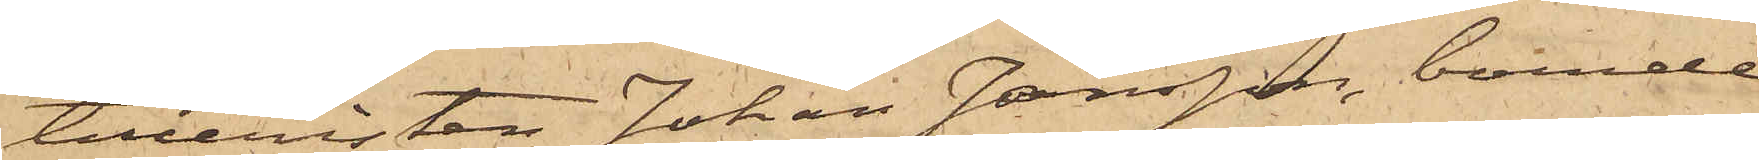tilleristen Johan Jansson, boende
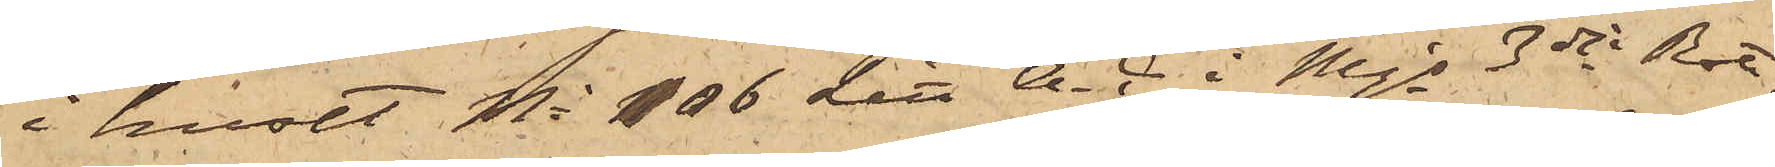i huset No 106 Litt A-C i Mjs 3dje Rote,
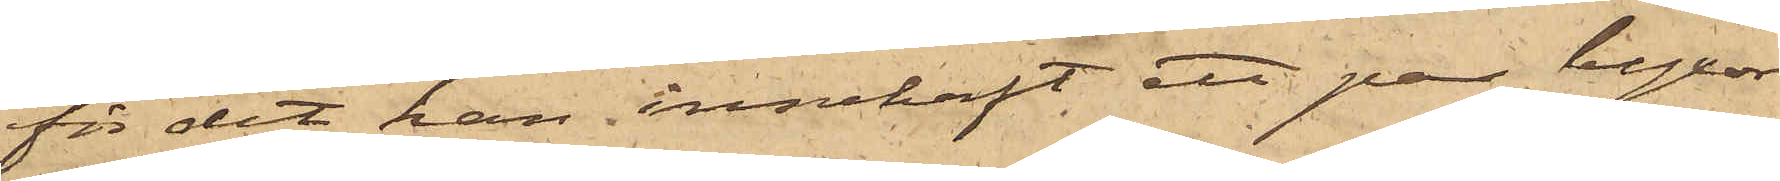för det han innehaft ett par byxor
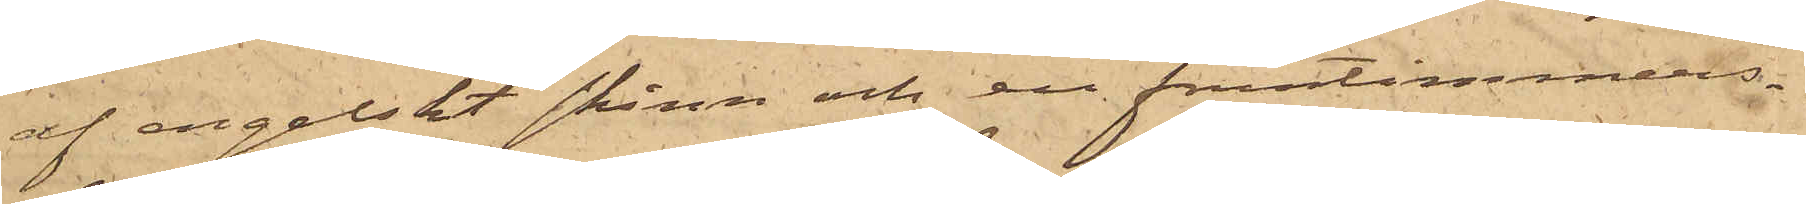af engelskt skinn och en fruntimmers¬
